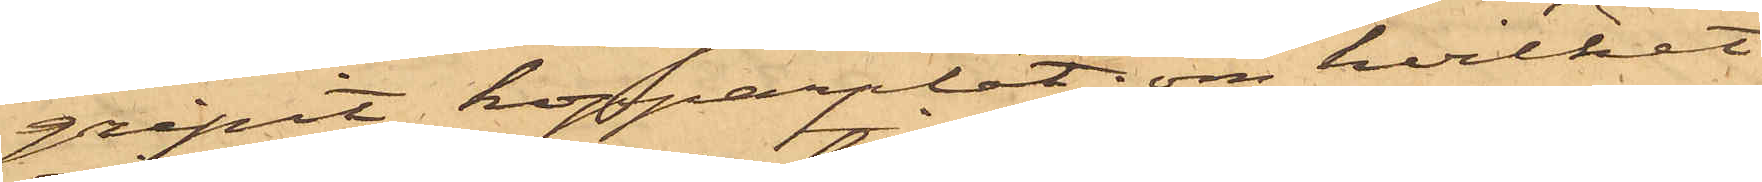gripit kopparplåt, om hvilket
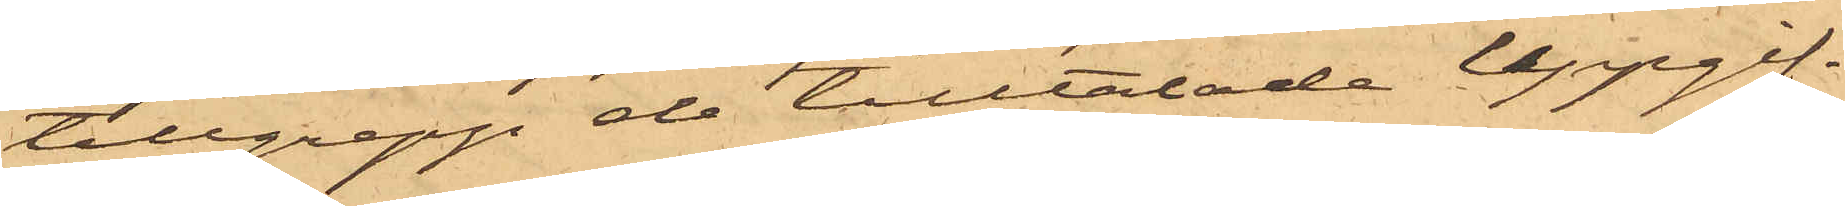tillgrepp de tilltalade uppgif¬
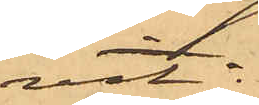vit:
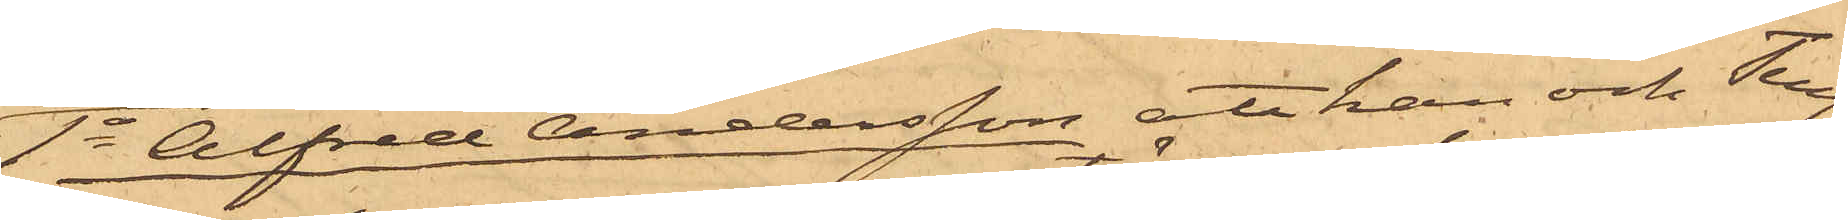1o Alfred Andersson att han och Teng¬
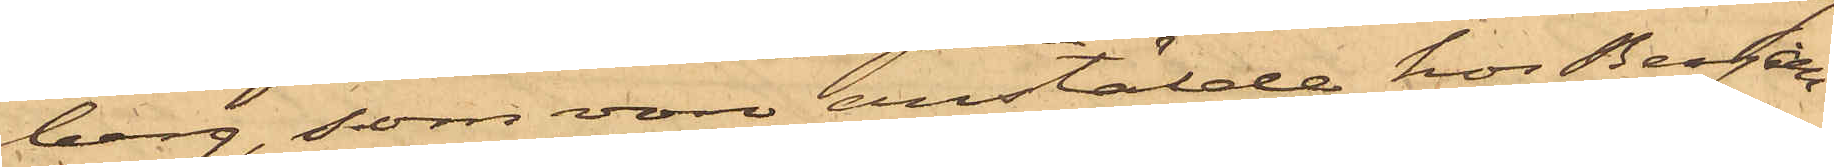berg, som vore anstälde hos Bergan¬
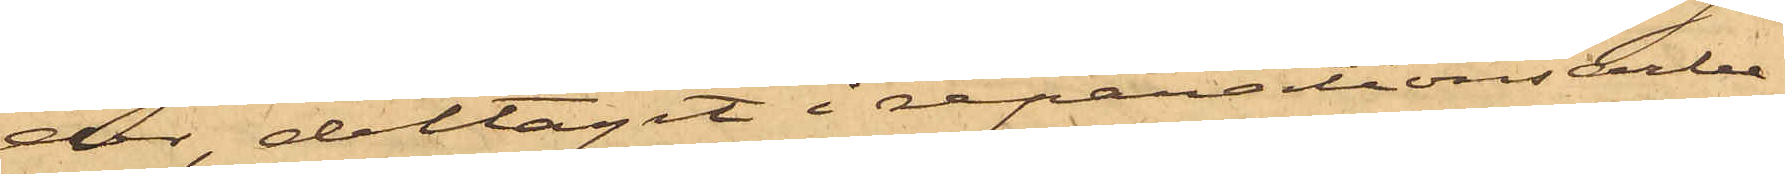der, deltagit i reparationsarbe¬
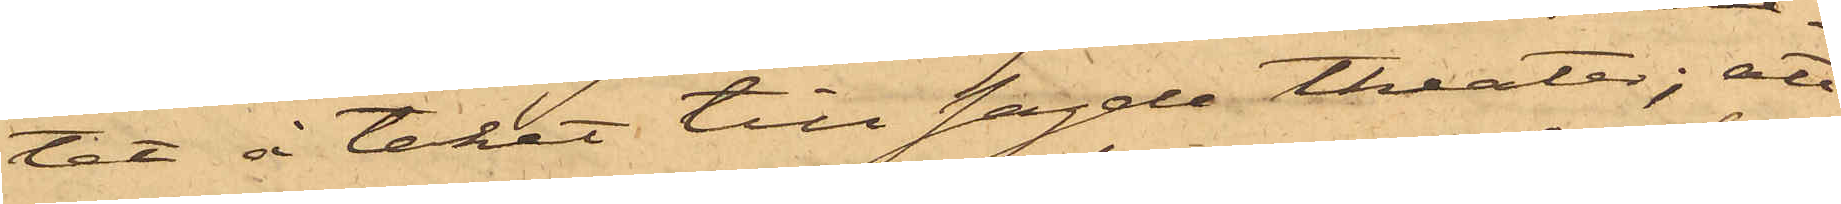tet å taket till sagde theater; att
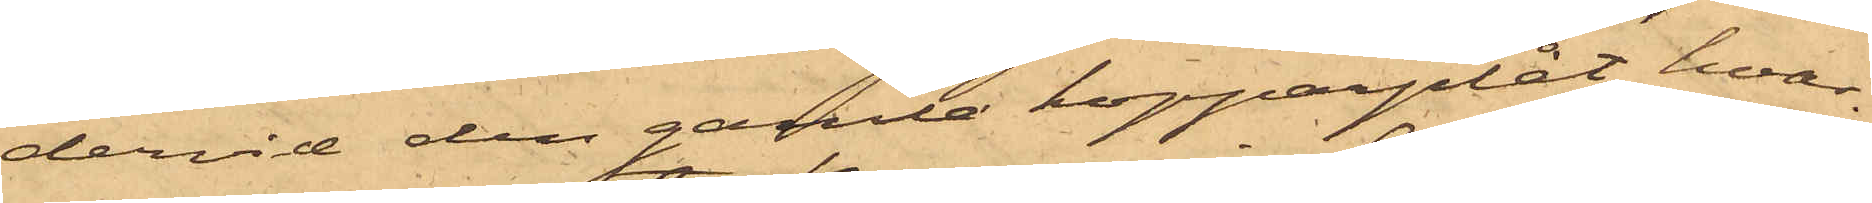dervid den gamla kopparplåt, hvar¬
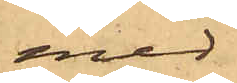med
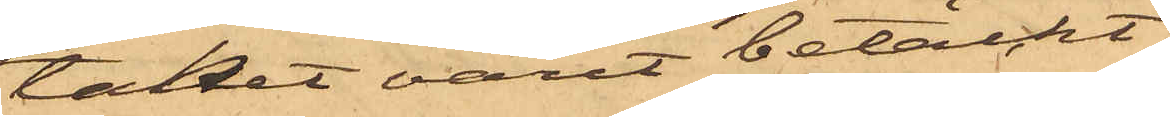taket varit betäckt,
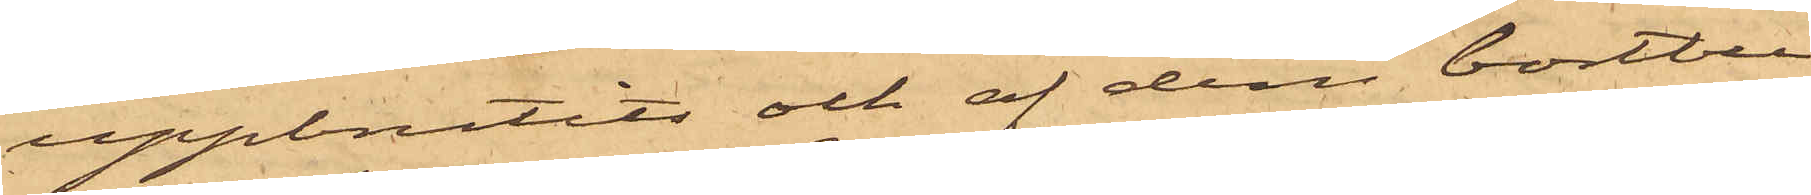uppbrutits och af dem bortbu¬
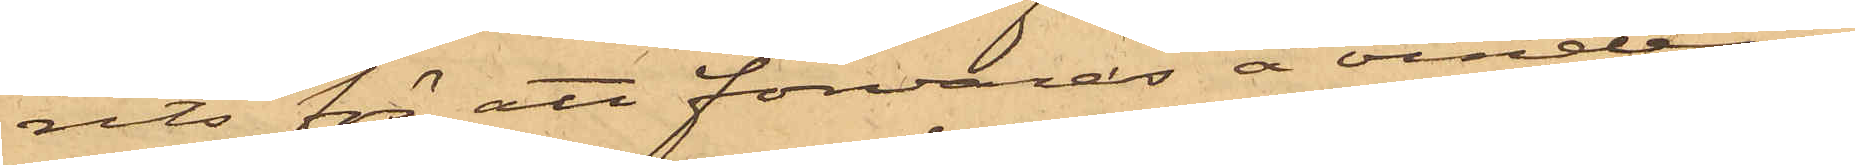rits för att förvaras å vinden;
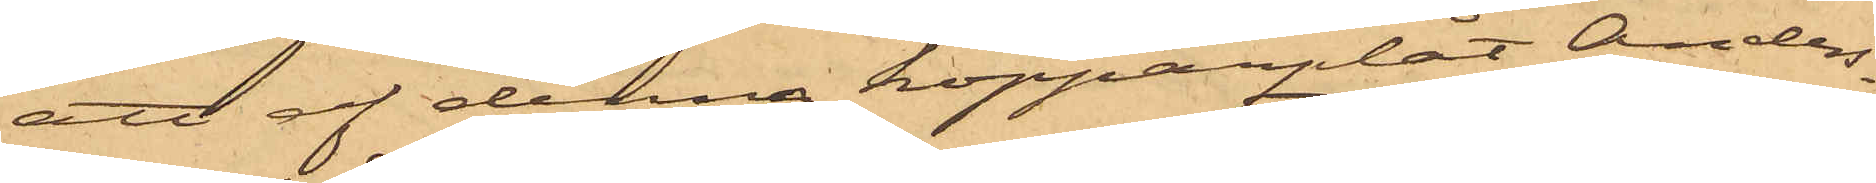att af denna kopparplåt Anders¬
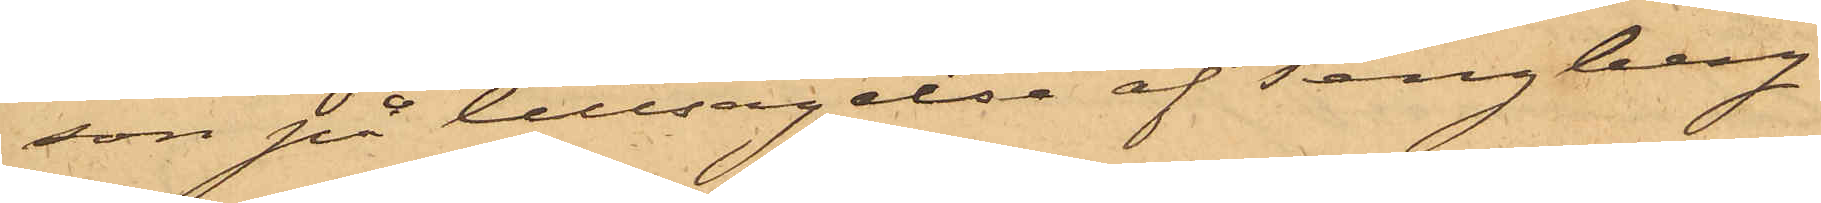son på tillsägelse af Tengberg
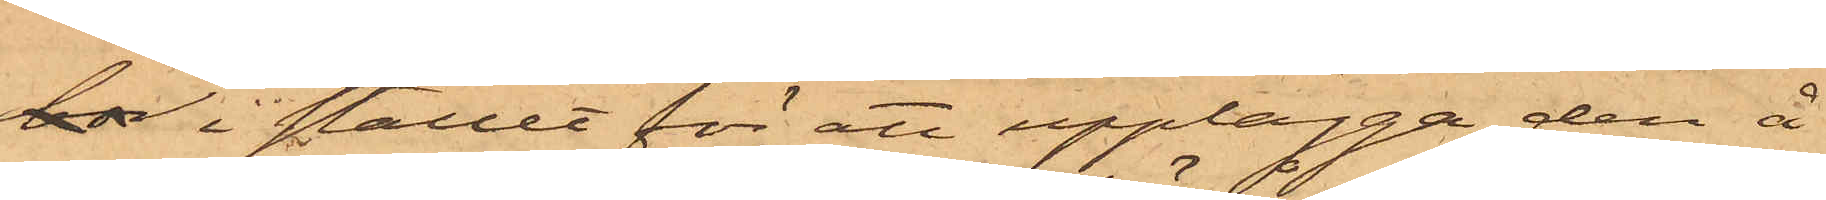bor i stället för att upplägga den å
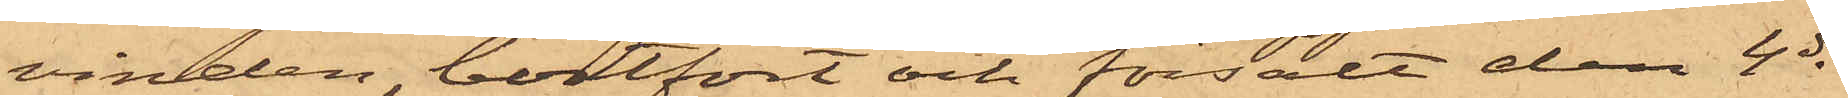vinden, bortfört och försålt den 4 ds
